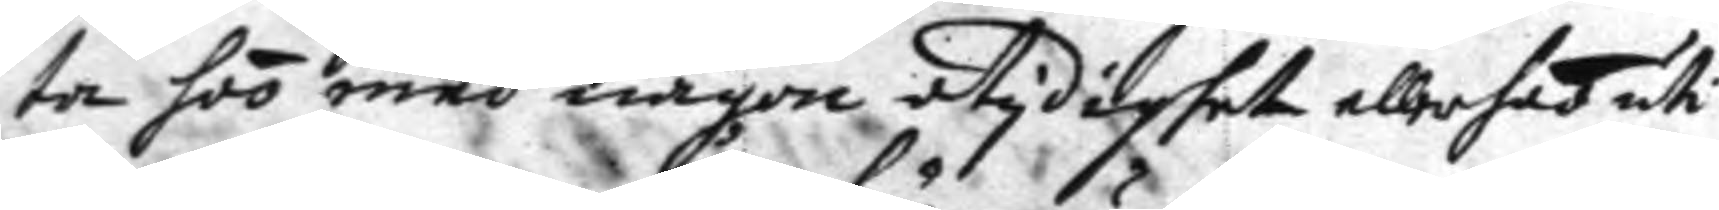ta hoo med någon otydighet ellerhet uti
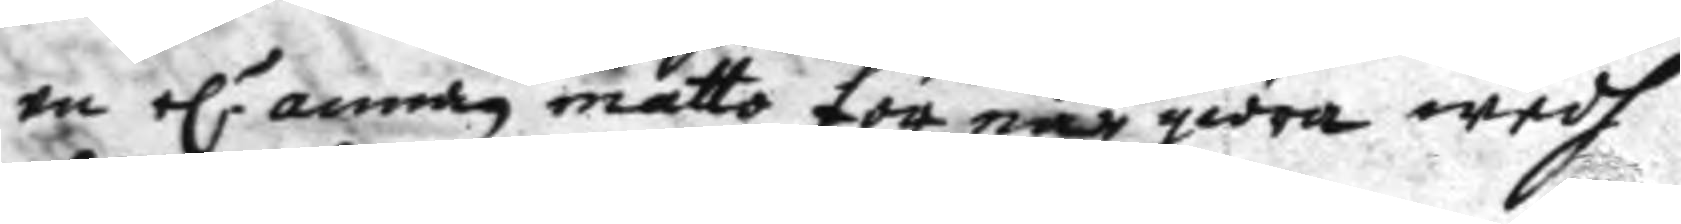en el.r annan måtto för när giöra wedh
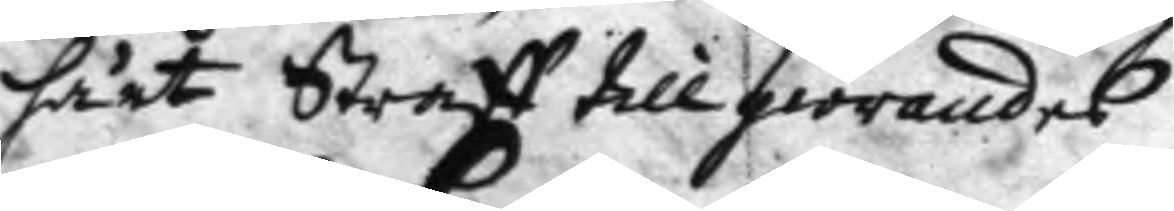hårt Straff tillgiörandes.
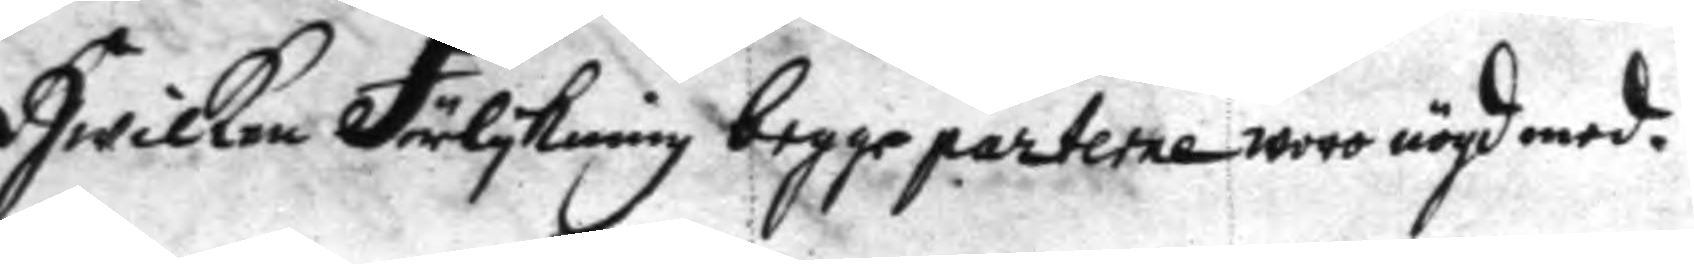Hwilken Förlykning begge parterne woro nögd med.
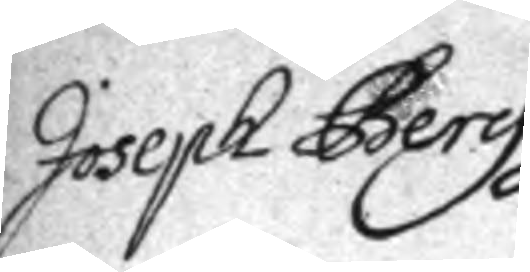Joseph Berg
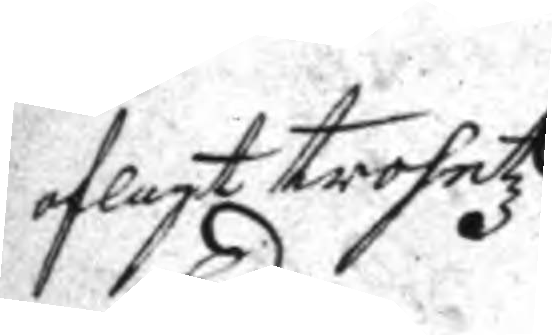aflagt trohetz
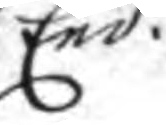Eed.
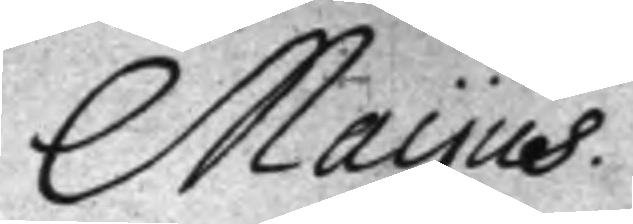Mayus.
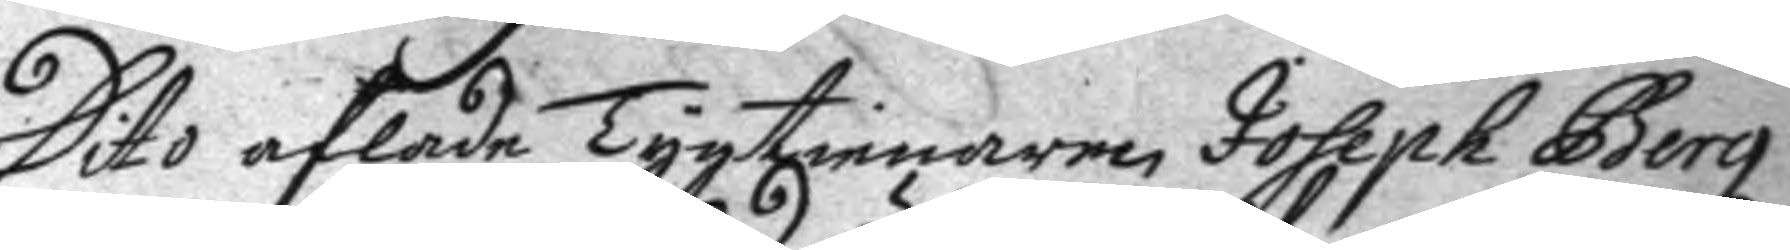Dito aflade Tygtienaren Joseph Berg
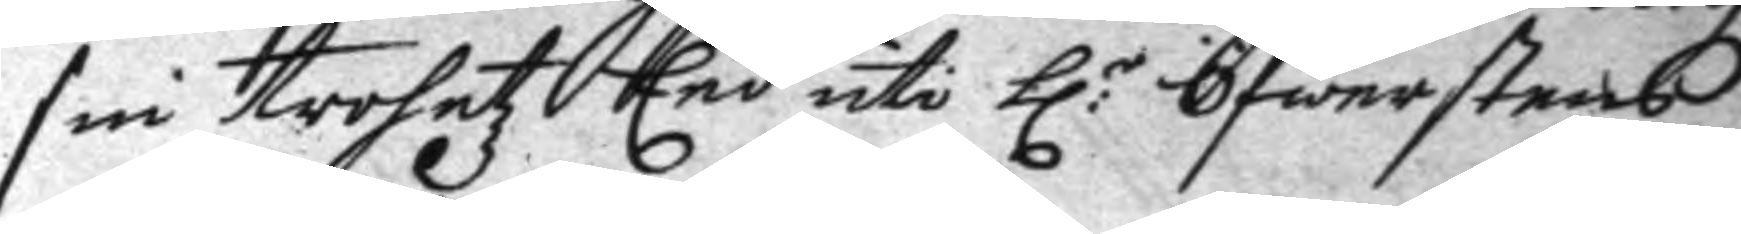sin trohetz Eed uti h:r Öfwerstens
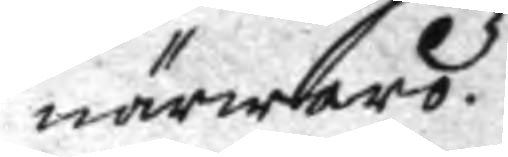närwaro.
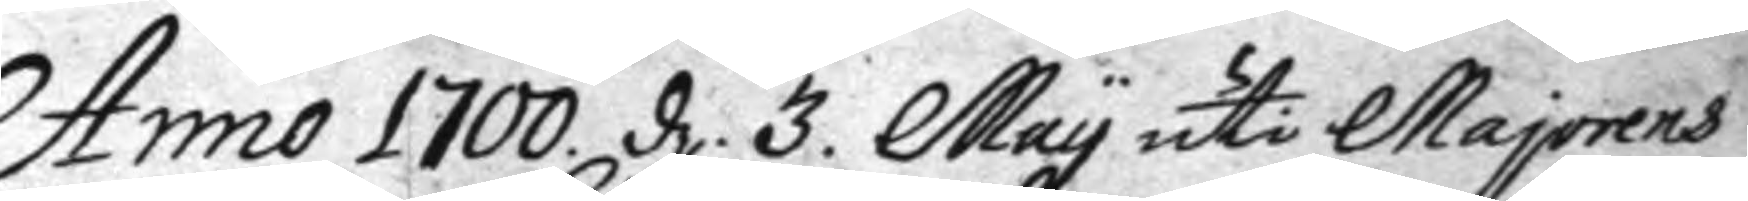Anno 1700. d. 3. May uti Majorens
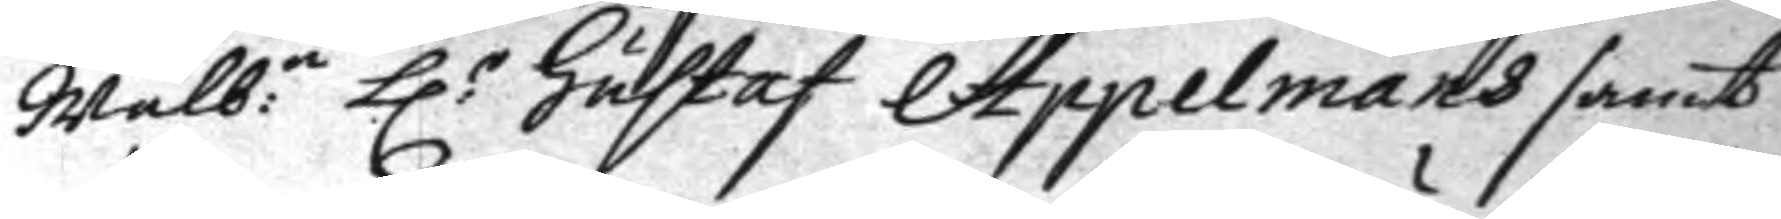Wälb:e h:r Gustaf Appelmans samt
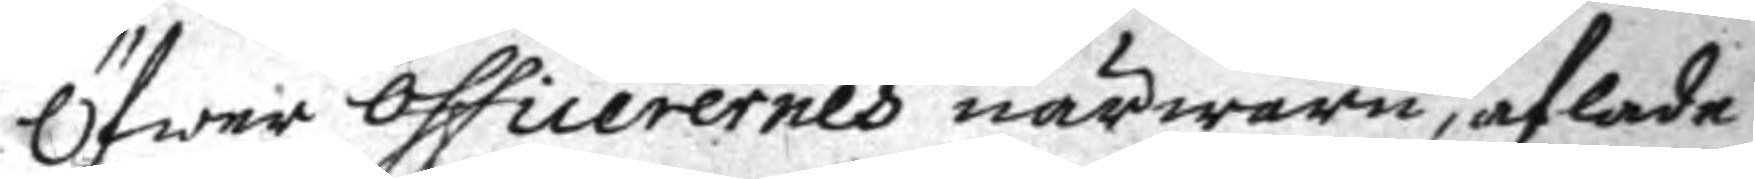Öfwer Officerernes närwaro, aflade
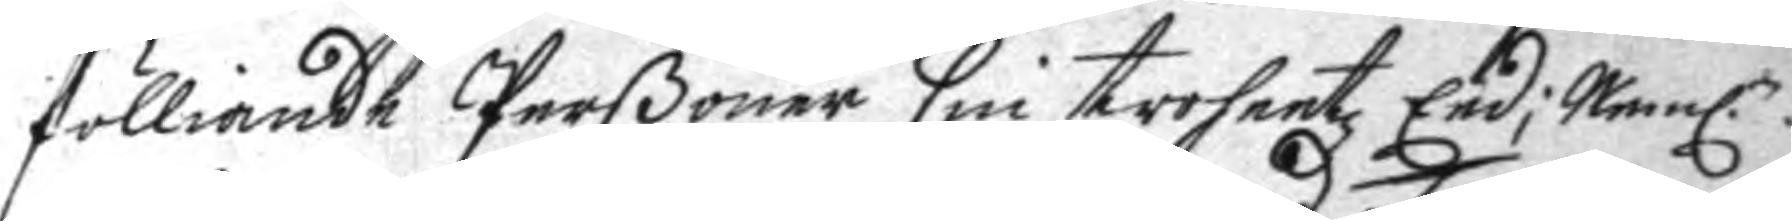fölliande Perßoner sin trohetz Eed; Neml.n
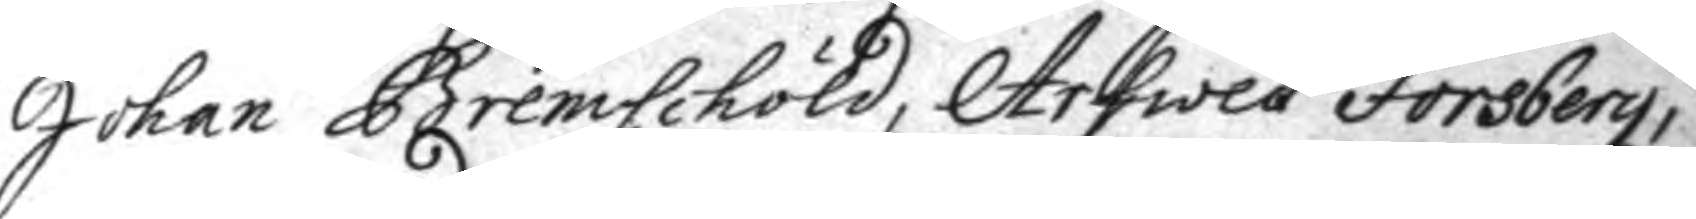Johan Bremschöld, Arfwed Forsberg,
